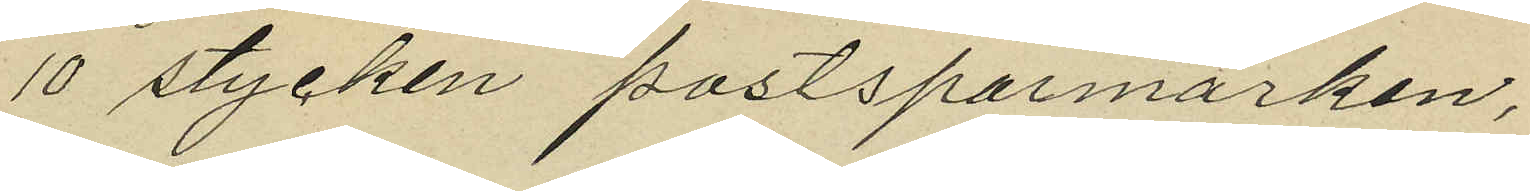10 stycken postsparmärken,
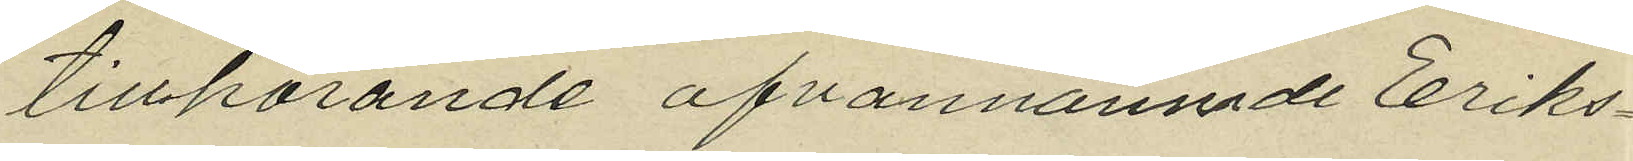tillhörande ofvannämnde Eriks¬
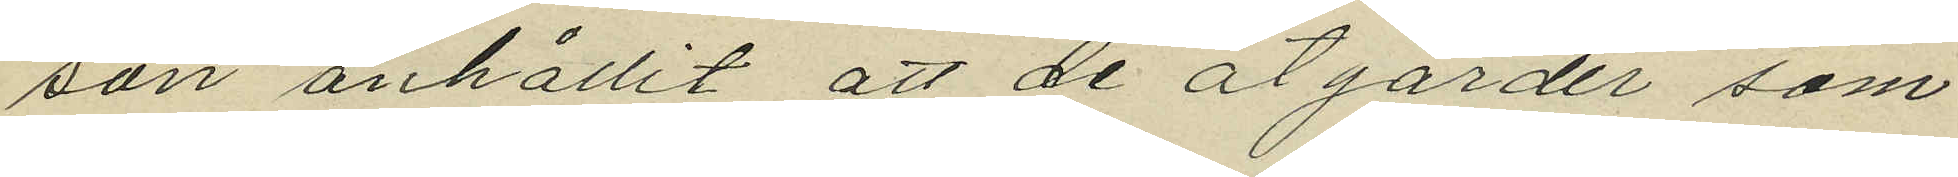son anhållit att de åtgårder som
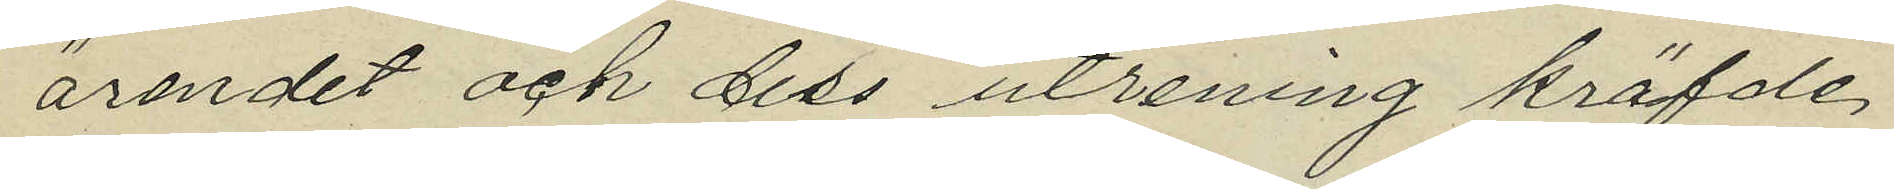ärendet och dess utrening kräfde,
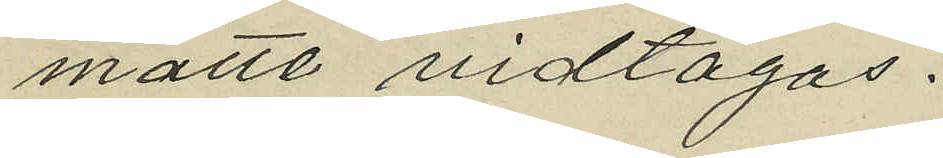måtte vidtagas.
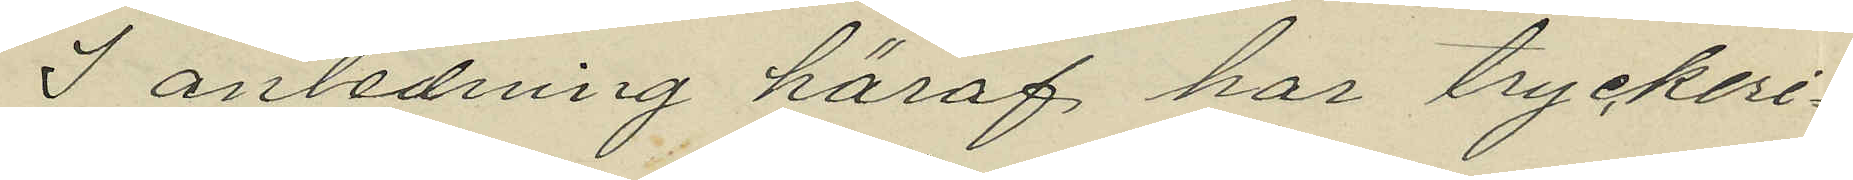I anledning häraf har tryckeri¬
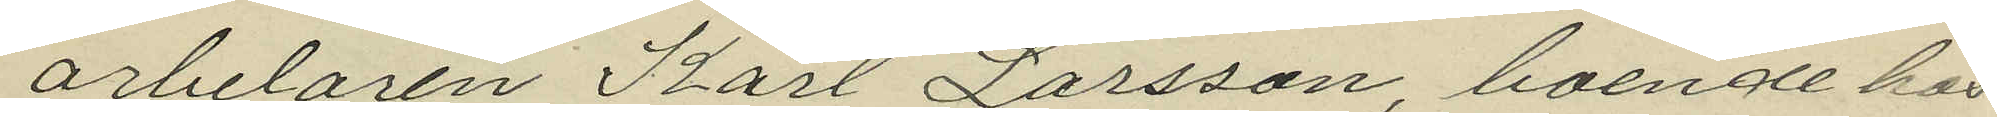arbetaren Karl Larsson, boende hos
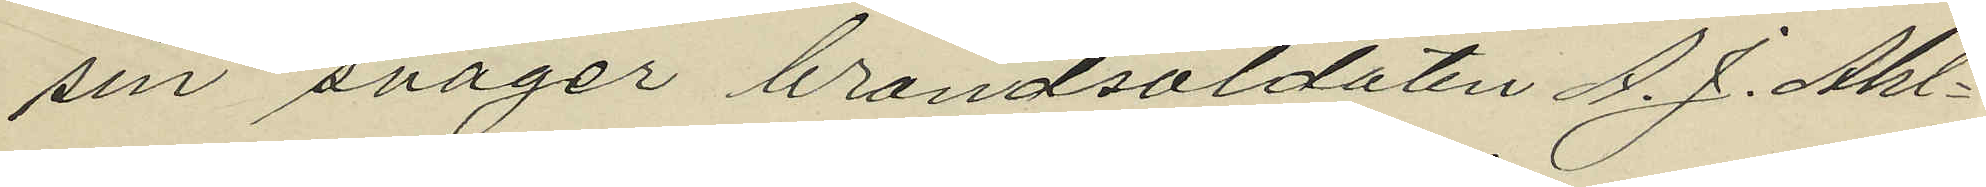sin svåger brandsoldaten A. J. Ahl¬
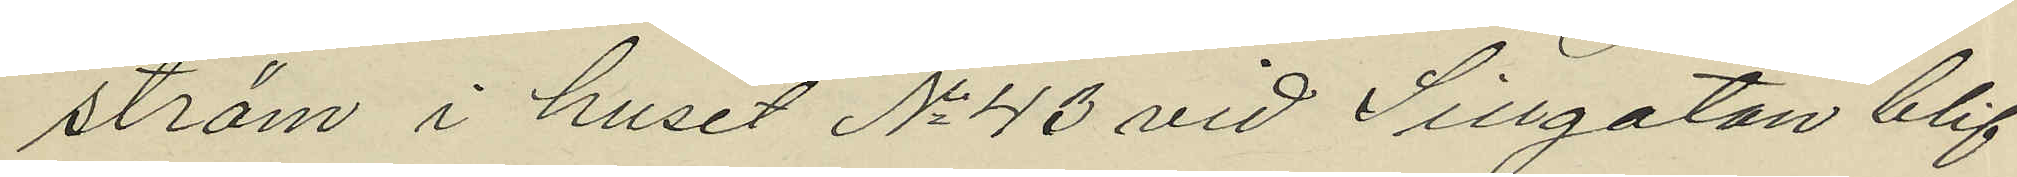ström i huset No 43 vid Sillgatan blif¬
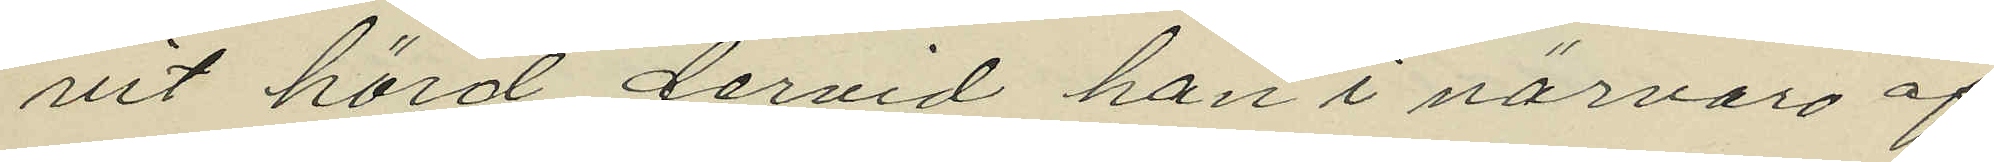vit hörd dervid han i närvaro af
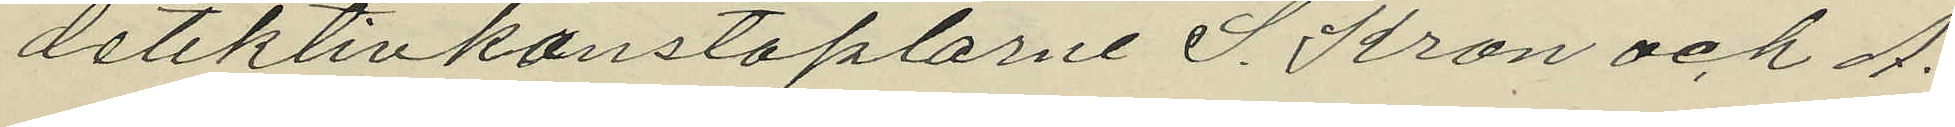detektivkonstaplarne S. Kron och A.
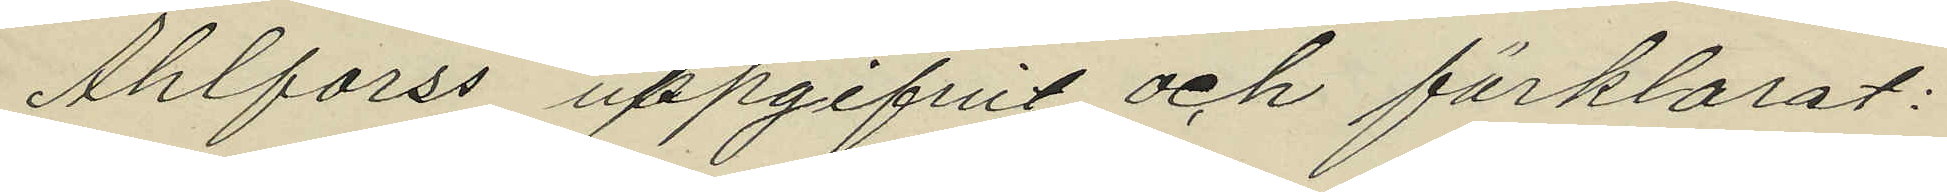Ahlforss uppgifvit och förklarat:
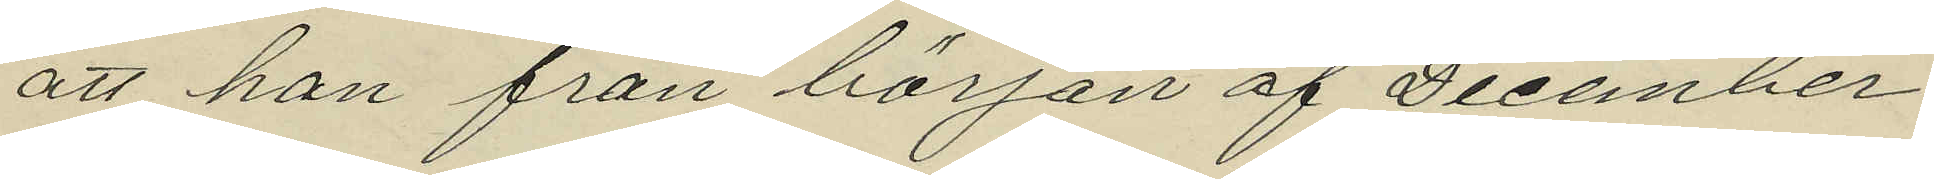att han från början af December
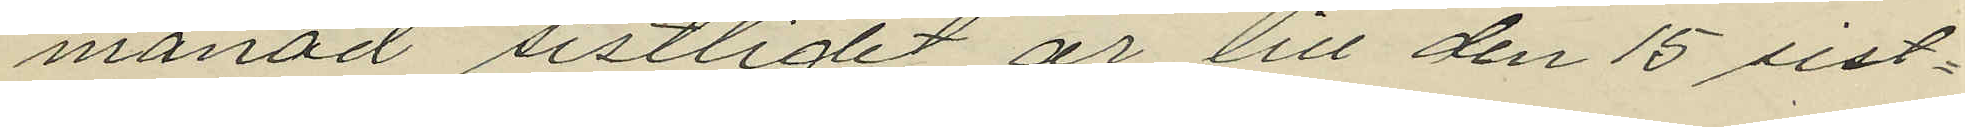månad sistlidet år till den 15 sist¬
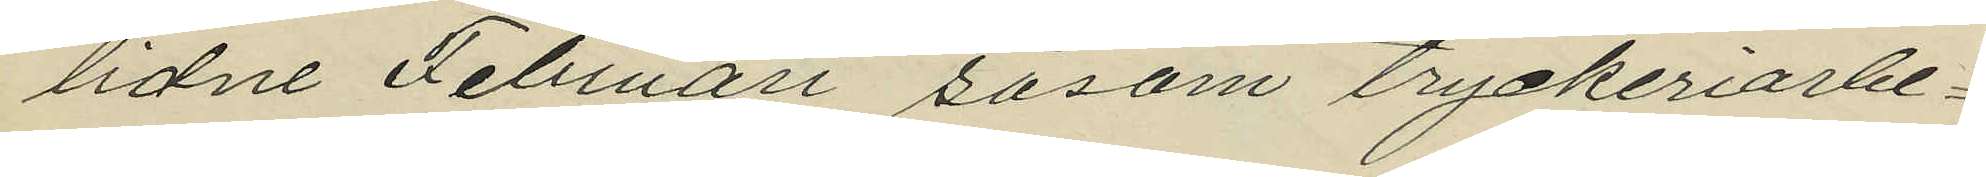lidne Februari såsom tryckeriarbe¬
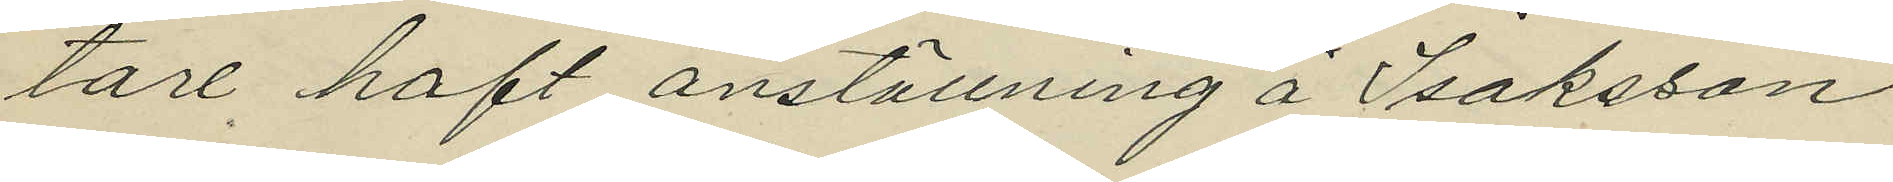tare haft anställning å Isaksson
